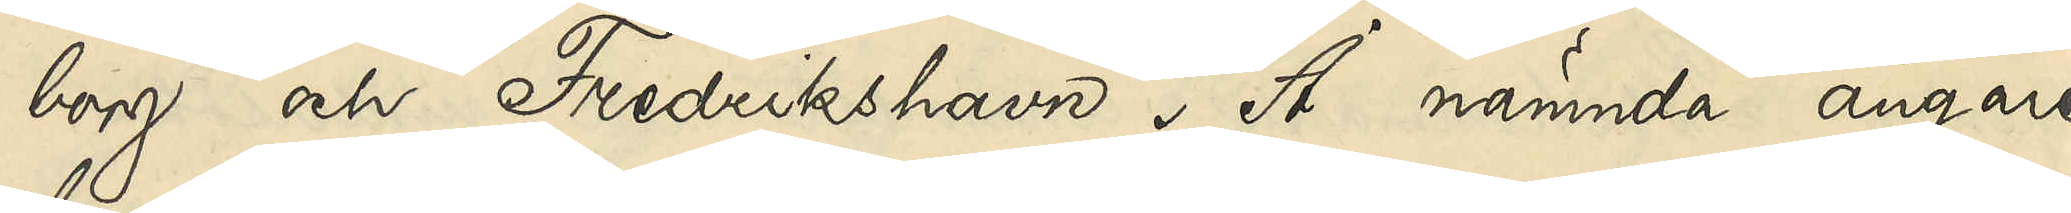borg och Fredrikshavn. Å nämnda ångare
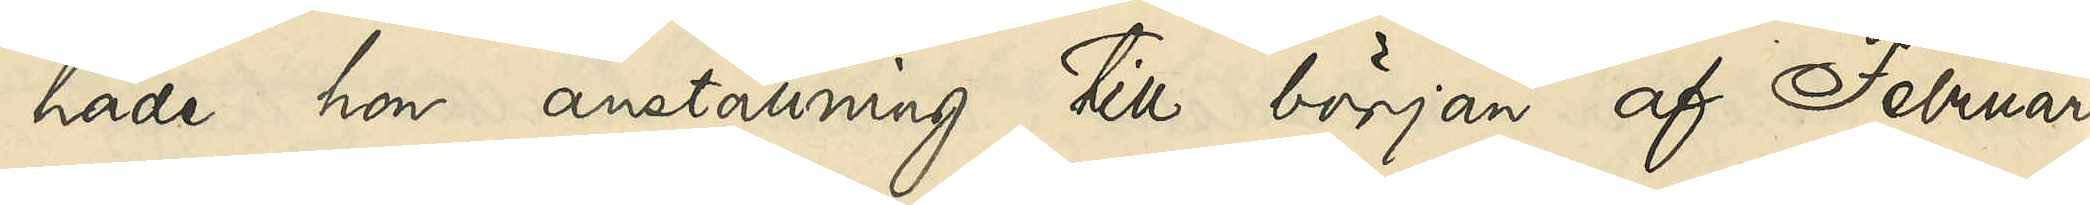hade hon anställning till början af Februari
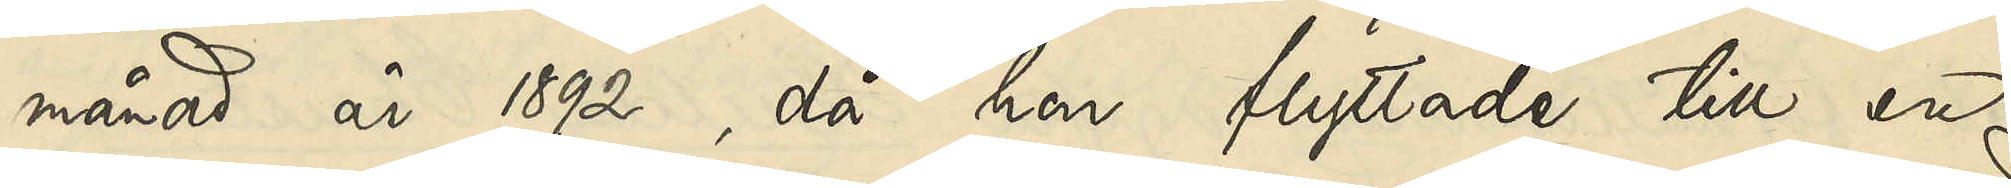månad år 1892, då hon flyttade till en
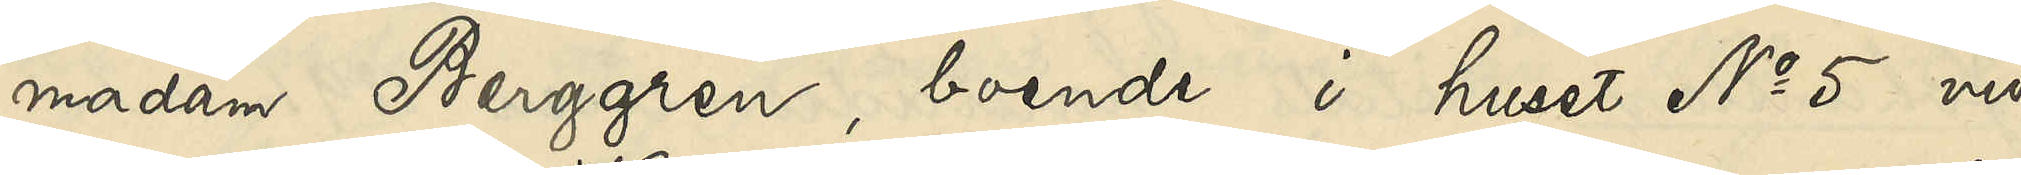madam Berggren, boende i huset No 5 vid
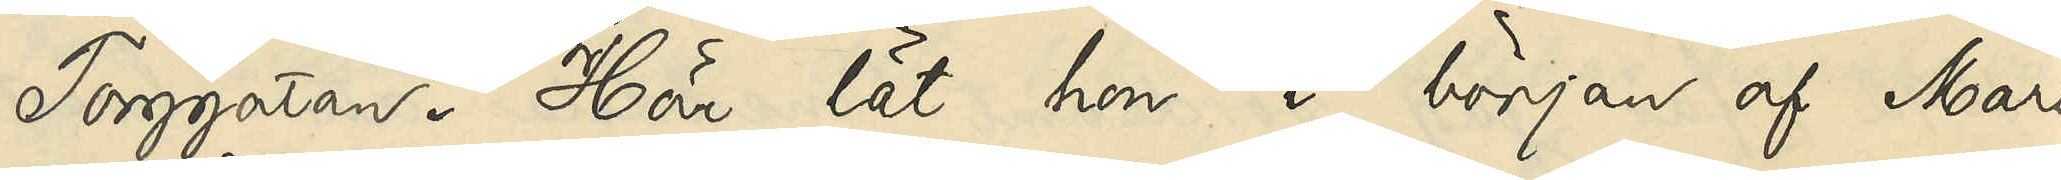Torggatan. Här lät hon i början af Mars
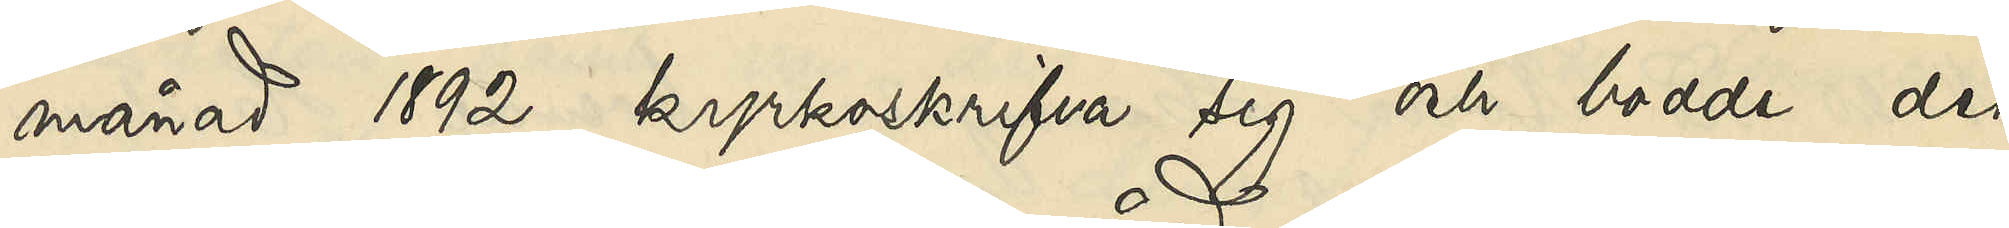månad 1892 kyrkoskrifva sig och bodde der
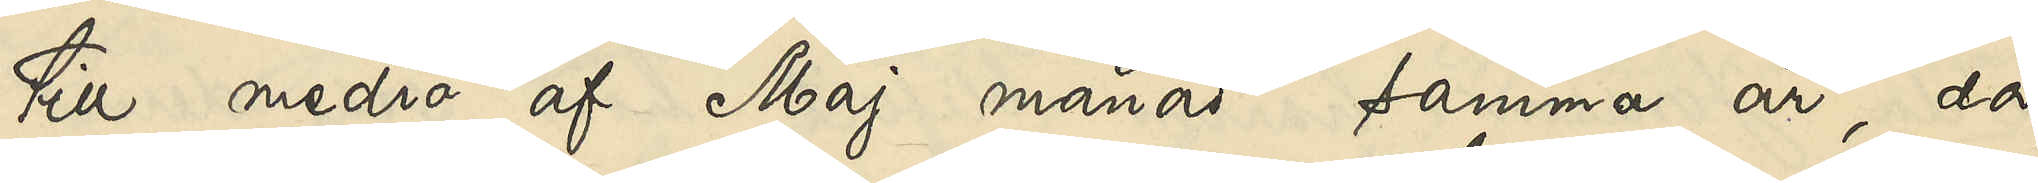till medio af Maj månad samma år, då
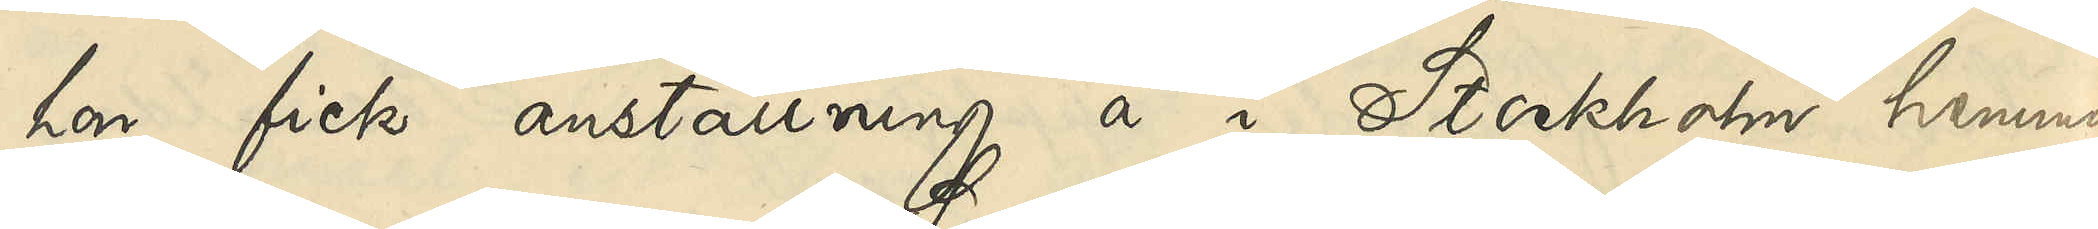hon fick anställning å en i Stockholm hemma¬
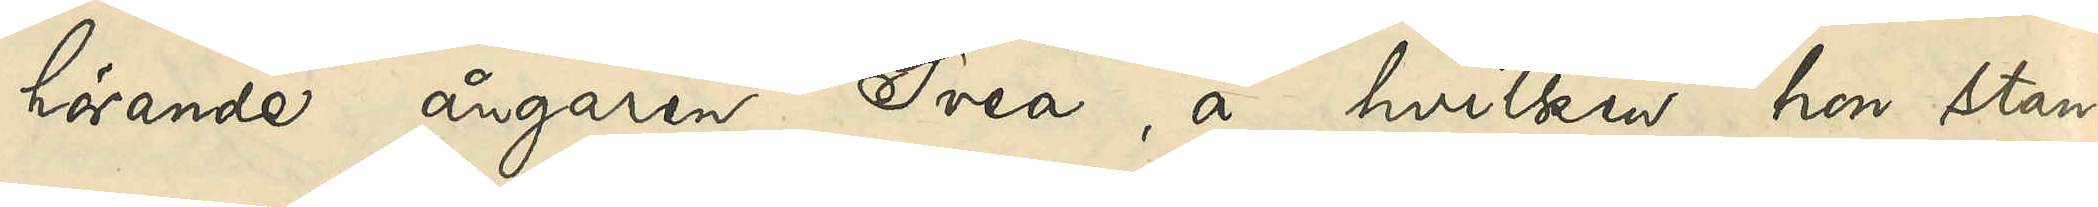hörande ångaren Svea, å hvilken hon stan¬
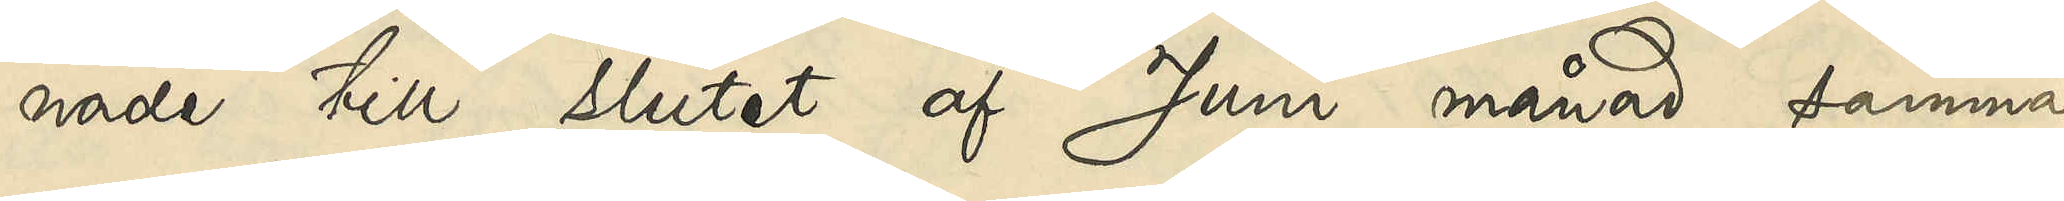nade till slutet af Juni månad samma
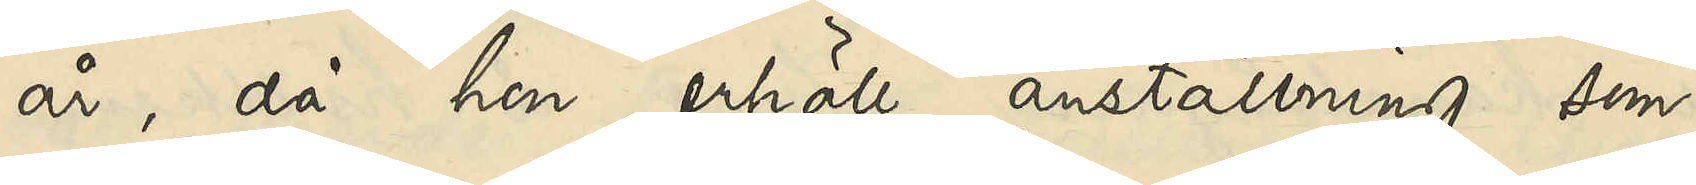år, då hon erhöll anställning som
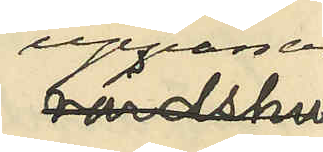uppasser¬
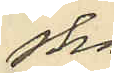ska
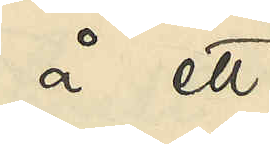å ett
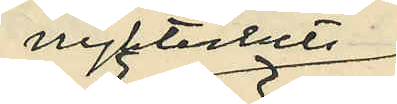nykterhets¬
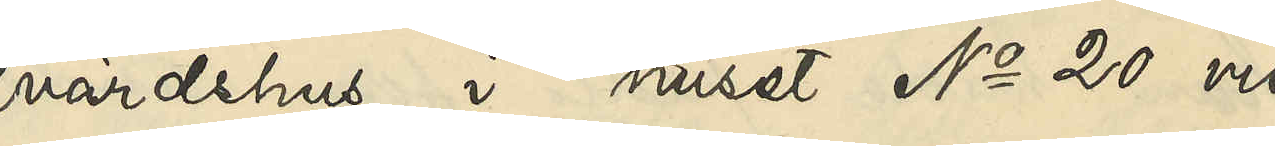värdshus i huset No 20 vid
